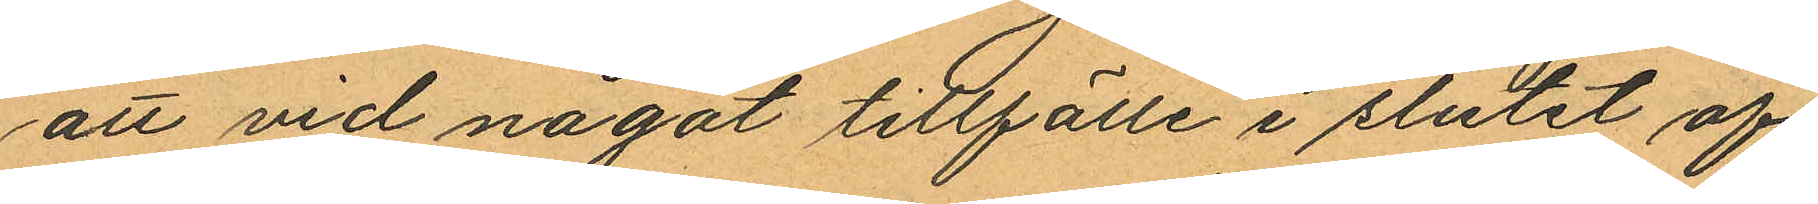att vid något tillfälle i slutet af
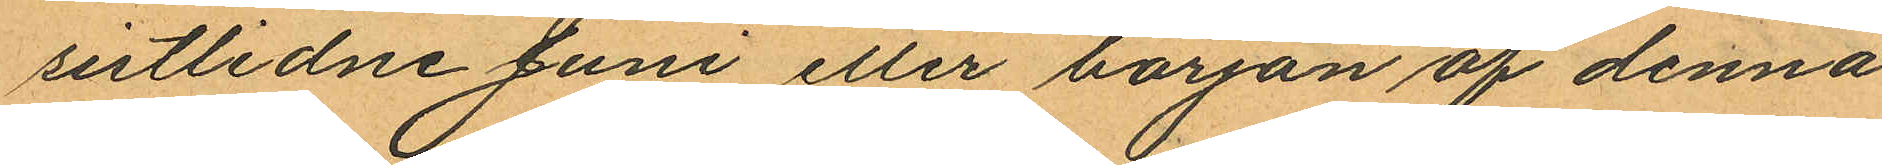sistlidne Juni eller början af denna
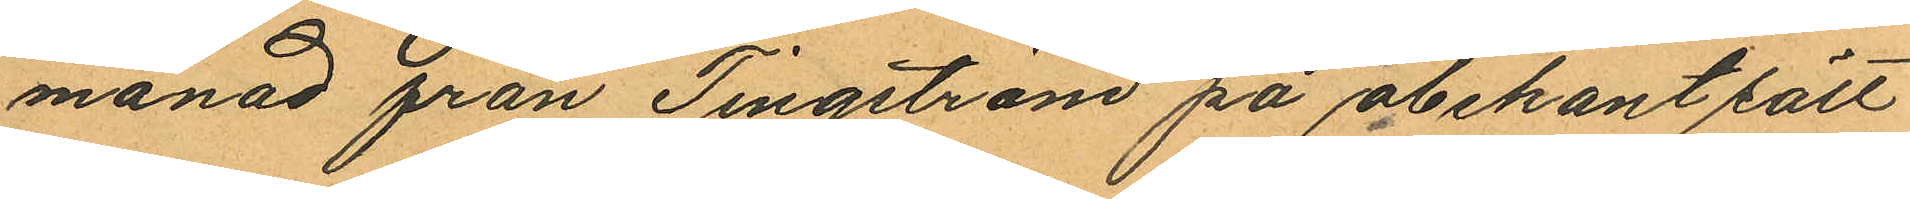månad från Tingström på obekant sätt
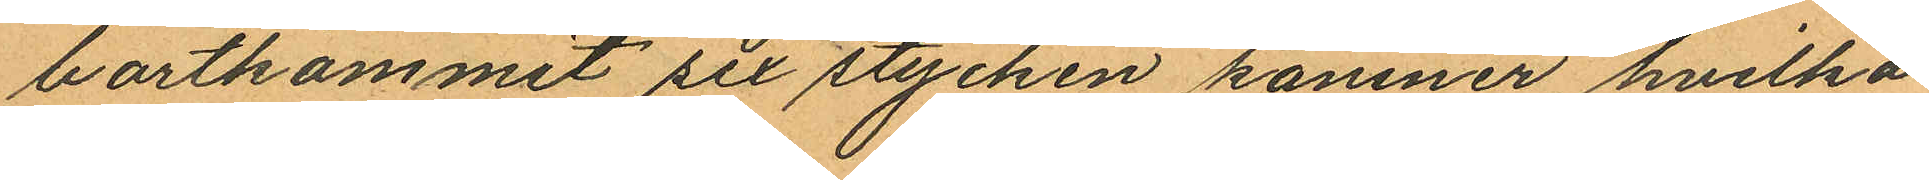bortkommit sex stycken kaniner, hvilka
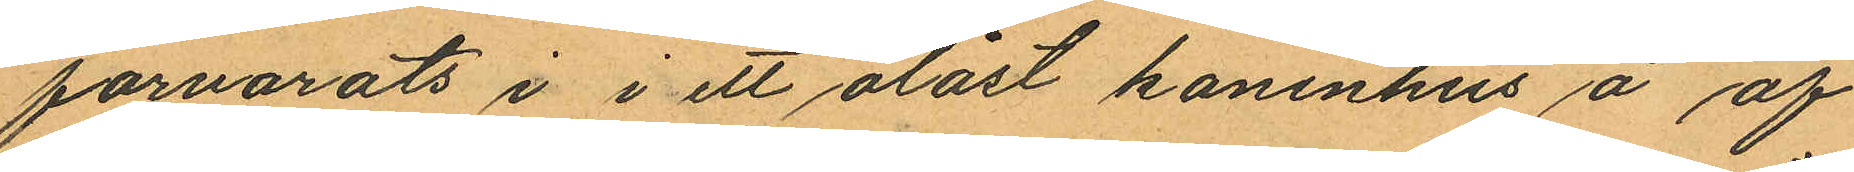förvarats i i ett olåst kaninhus å af
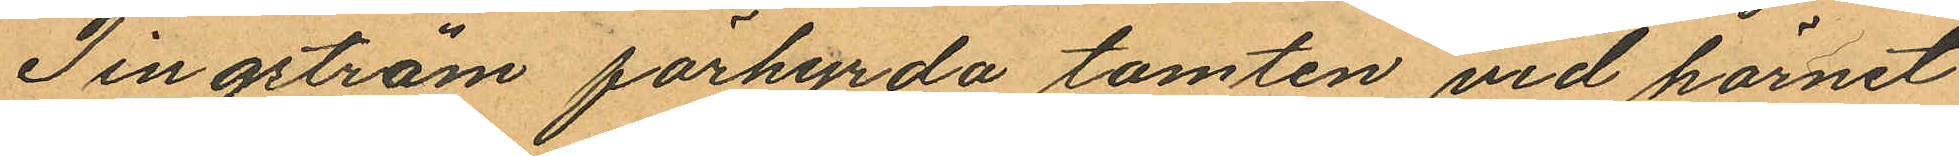Tingström förhyrda tomten vid hörnet
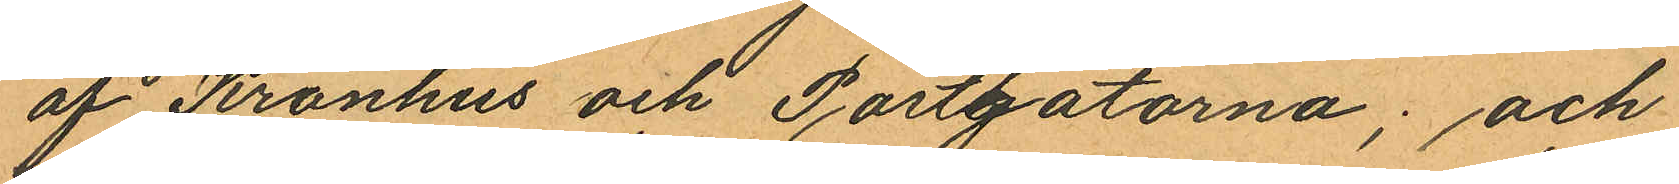af Kronhus och Postgatorna; och
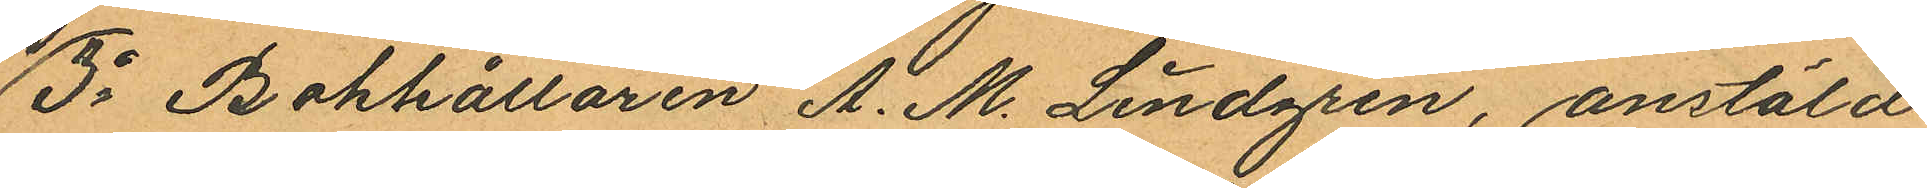3o Bokhållaren A. M. Lindgren, anstäld
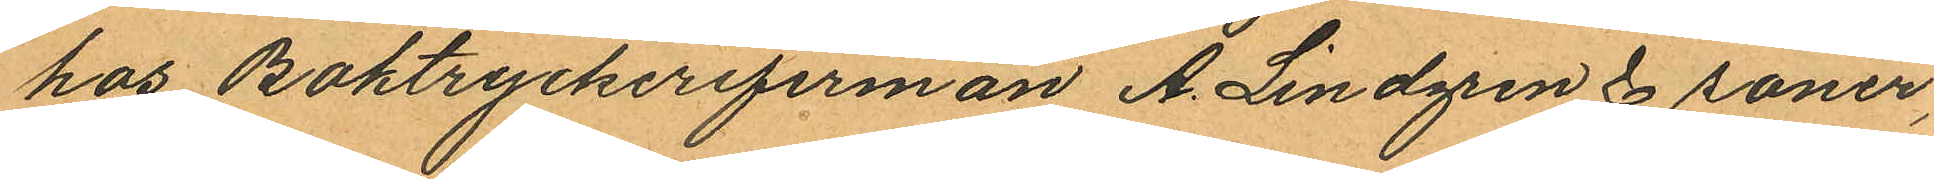hos Boktryckerifirman A. Lindgren & söner,
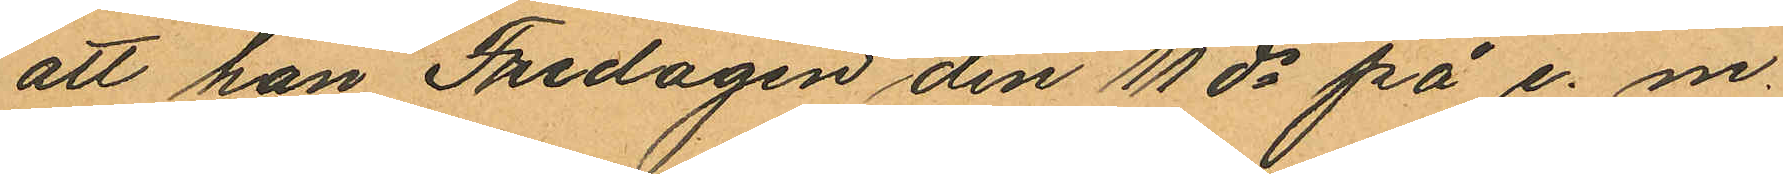att han Fredagen den 11 ds på e. m.
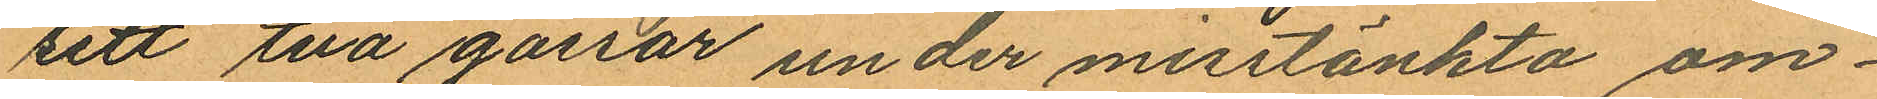sett två gossar under misstänkta om¬
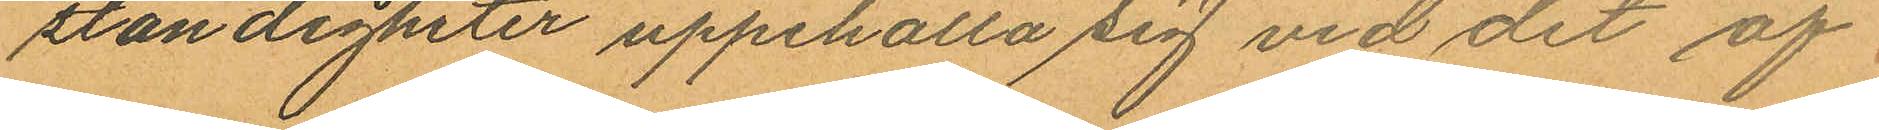ständigheter uppehålla sig vid det af
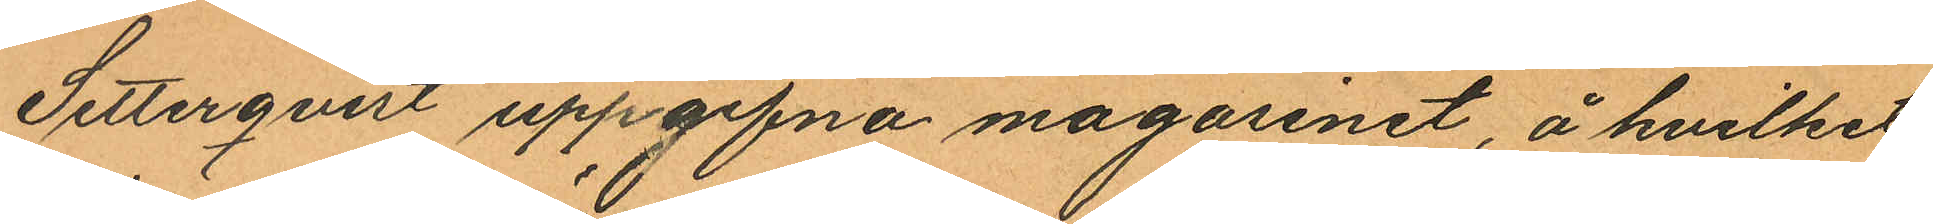Setterqvist uppgifna magasinet, å hvilket
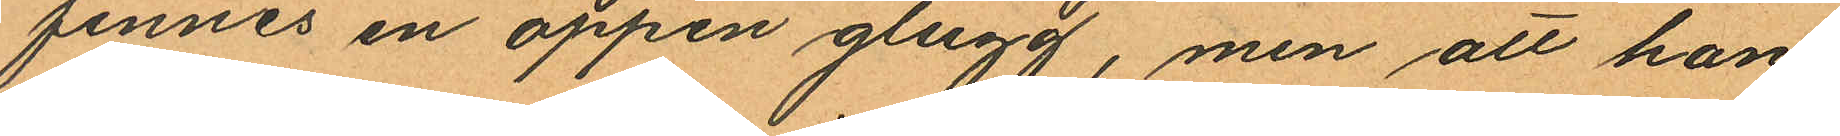finnes en öppen glugg, men att han
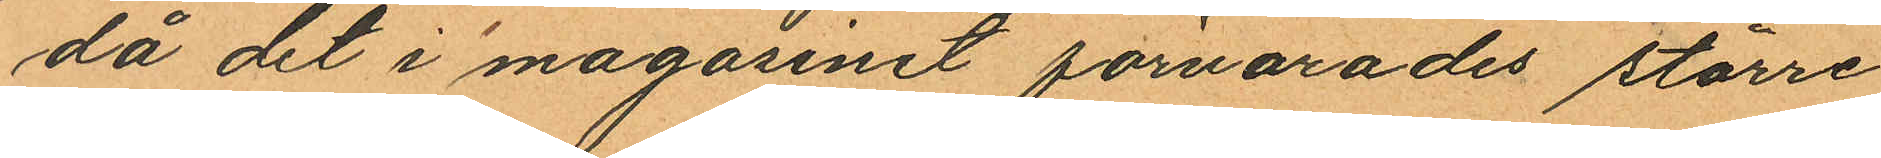då det i magasinet förvarades större
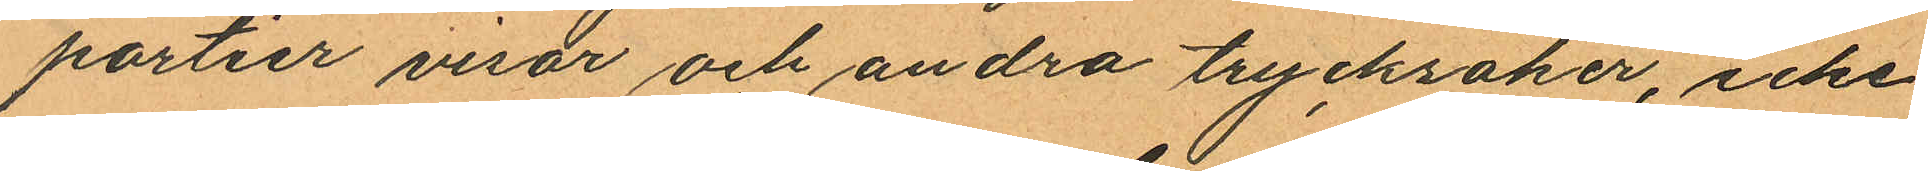partier visor och andra trycksaker, icke
